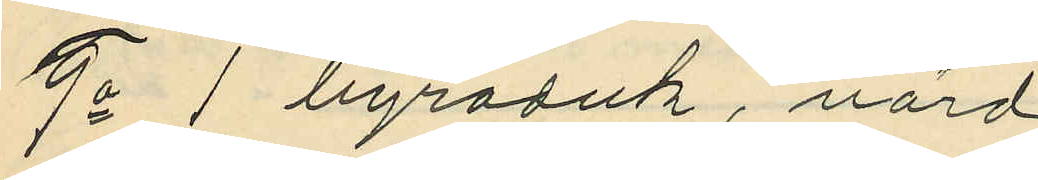9o 1 byraduk, värd
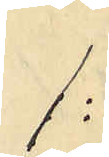1:
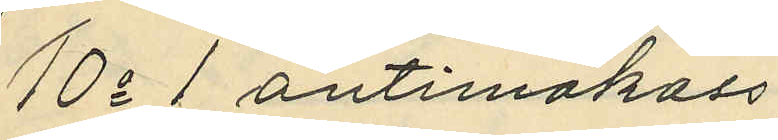10o 1 antimakass
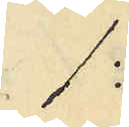1:
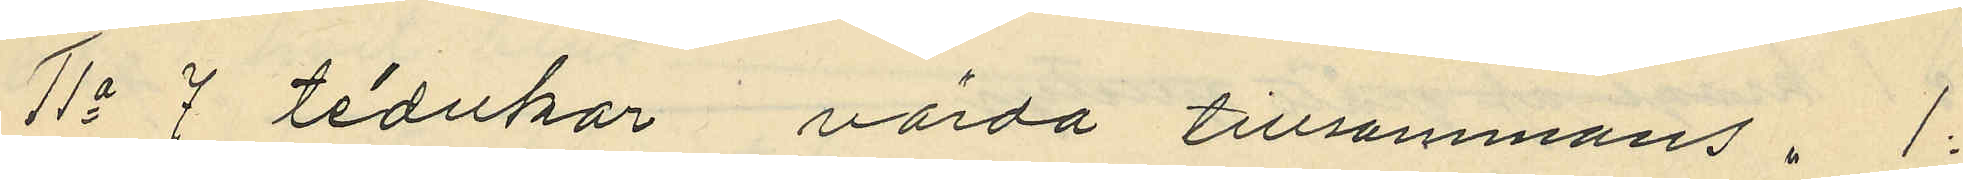11o 7 tédukar värda tillsammans " 1:
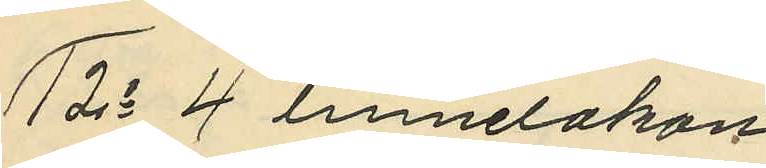12o 4 linnelakan
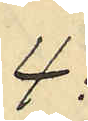4:
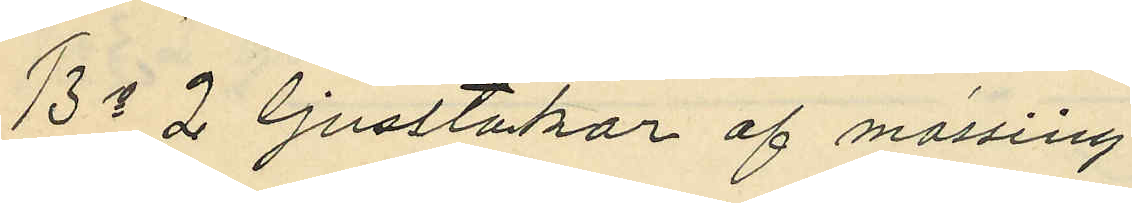13o 2 ljusstakar af mässing
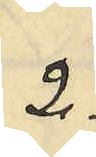2:
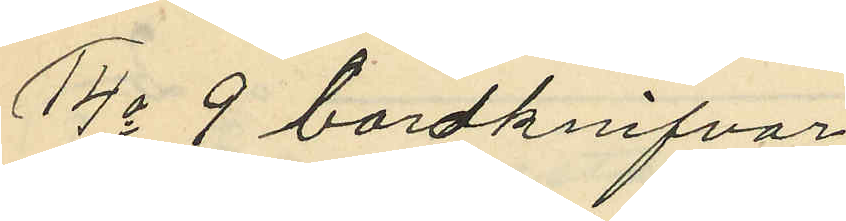14o 9 bordknifvar
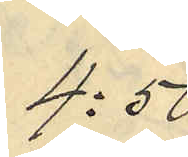4:50
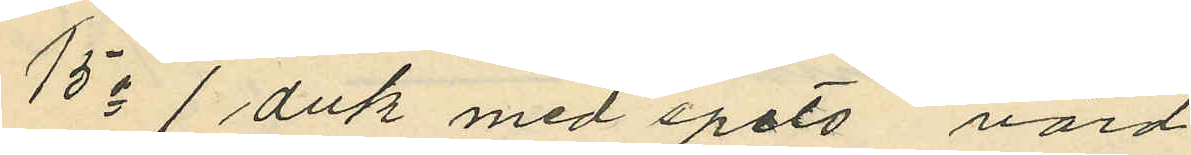15o 1 duk med spets värd
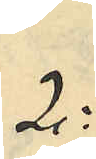2:
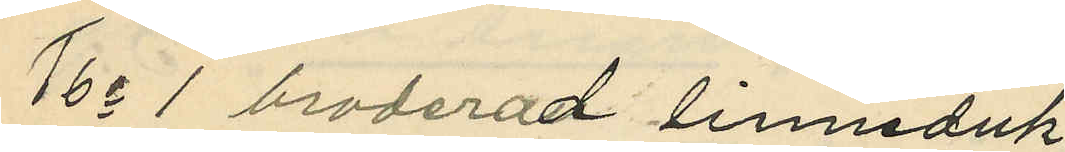16o 1 broderad linneduk
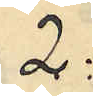2:
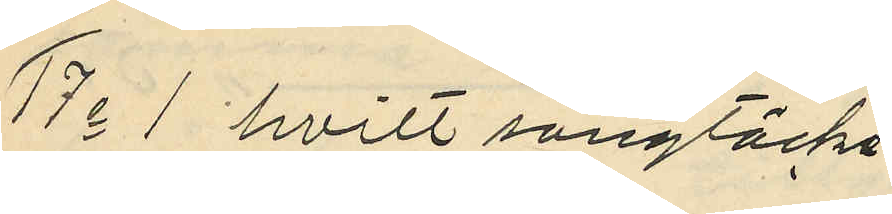17o 1 hvitt sängtäcke
